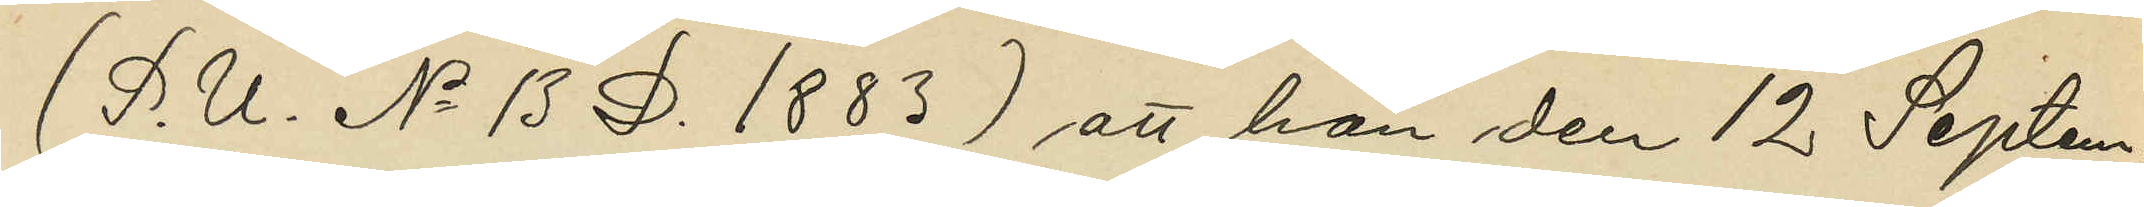(P. U. No 13 D. 1883) att han den 12 Septem¬
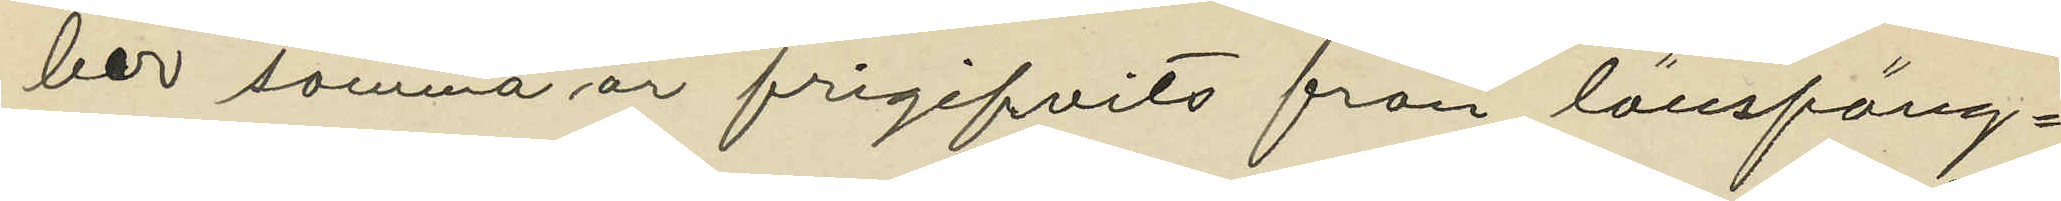ber samma år frigifvits från länsfäng¬
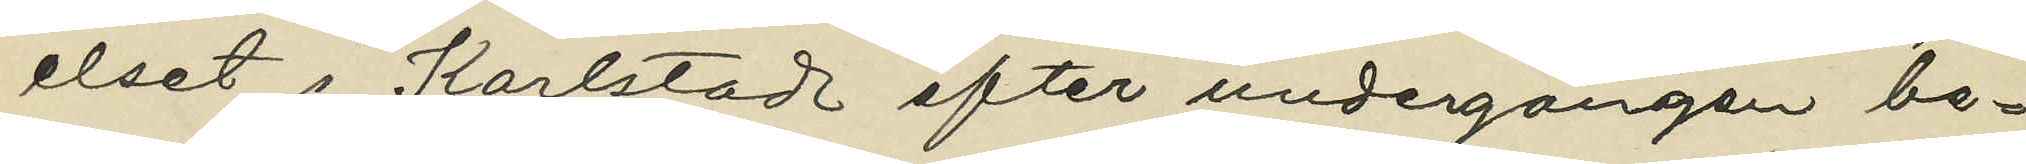elset i Karlstad efter undergången be¬
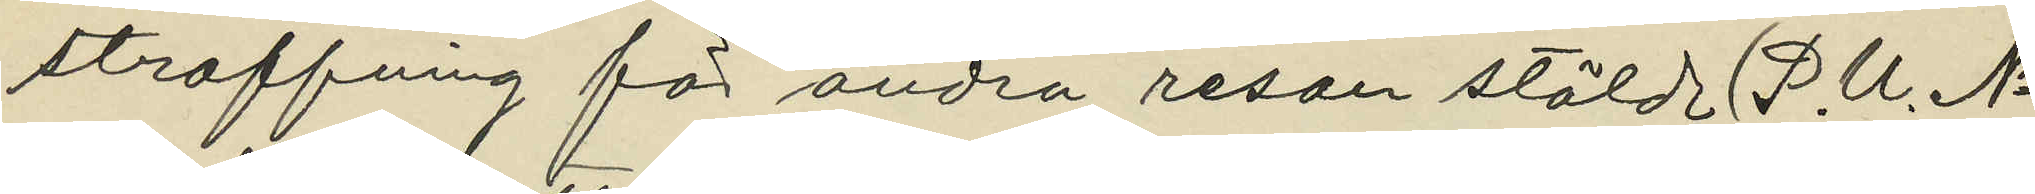straffning för andra resan stöld (P. U. No
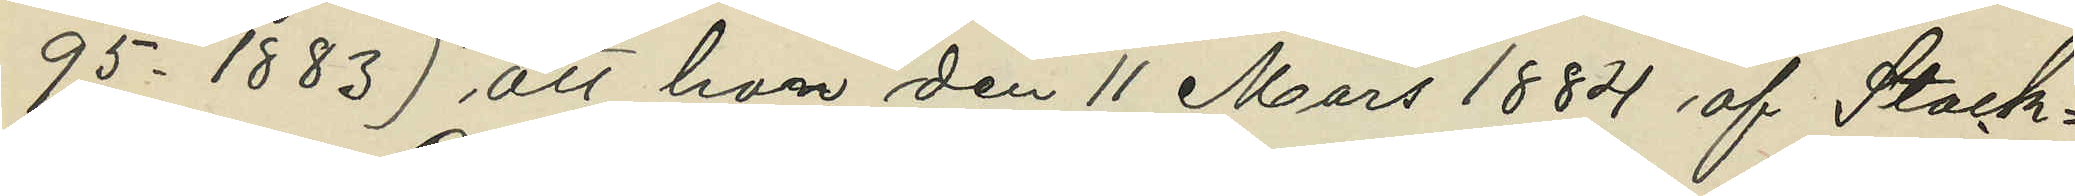95 - 1883) att han den 11 Mars 1884 af Stock¬
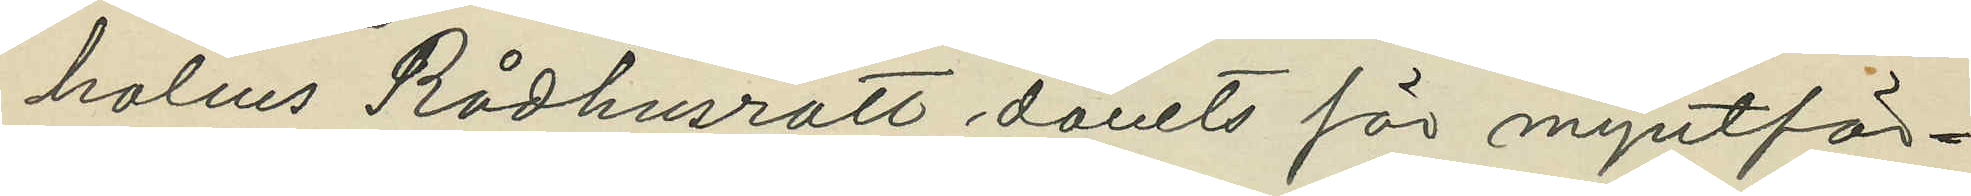holms Rådhusrätt dömts för myntför¬
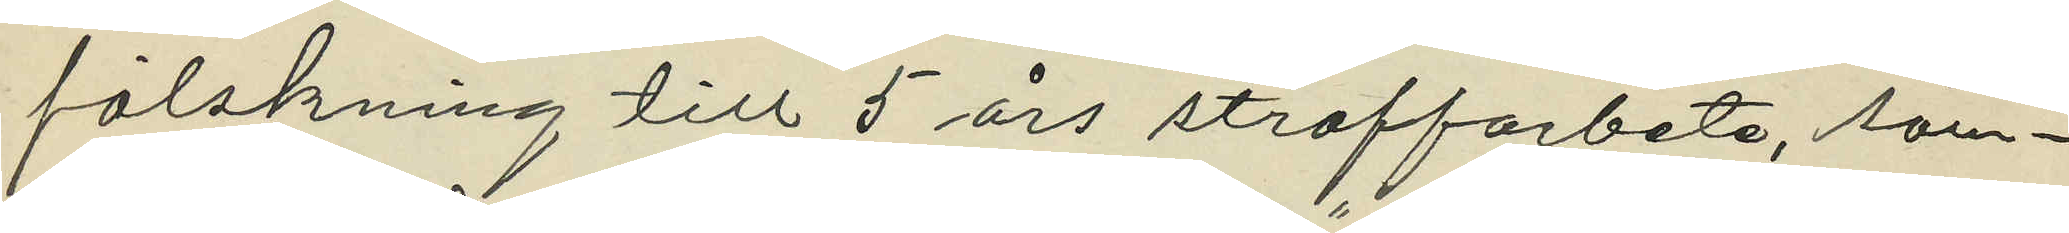falskning till 5 års straffarbete, som
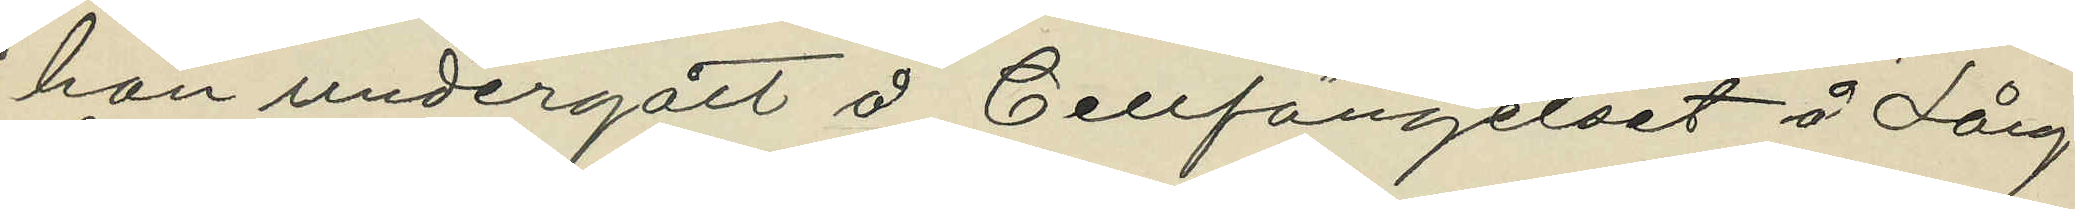han undergått å Cellfängelset å Lång¬
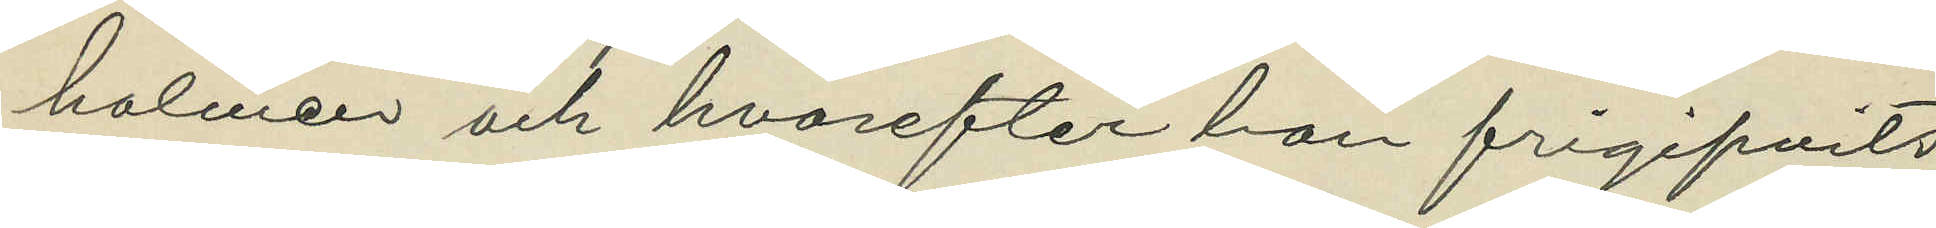holmen och hvarefter han frigifvits
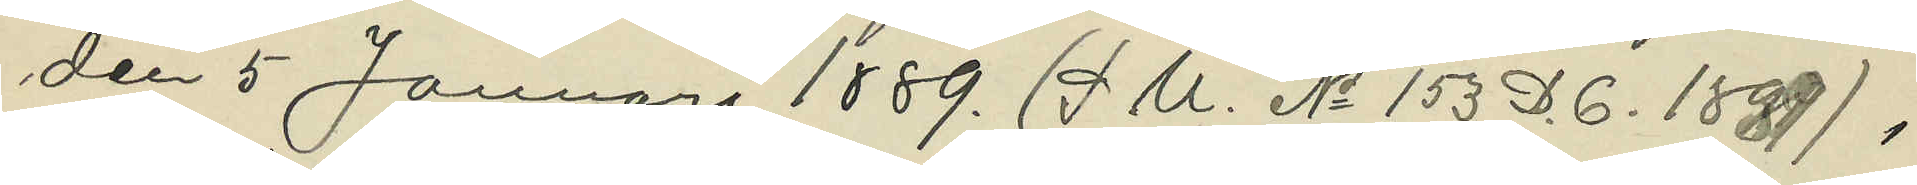den 5 Januari 1889. (P U. No 153 D. 6. 1889) ;
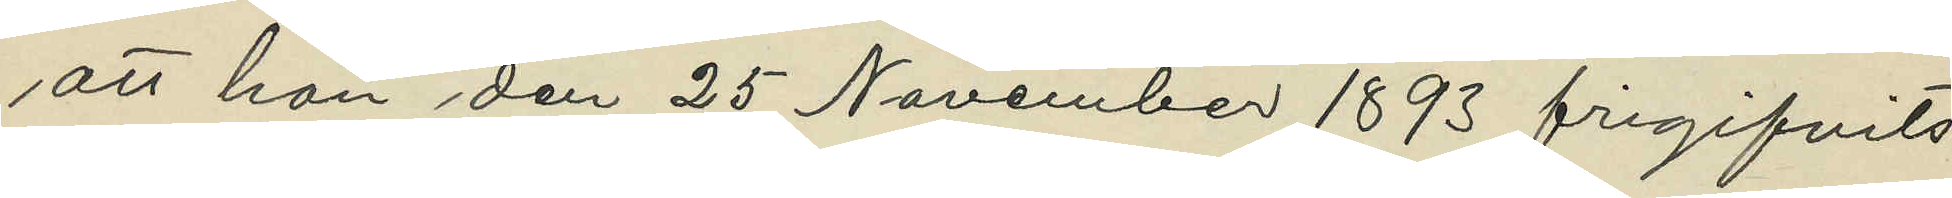att han den 25 November 1893 frigifvits
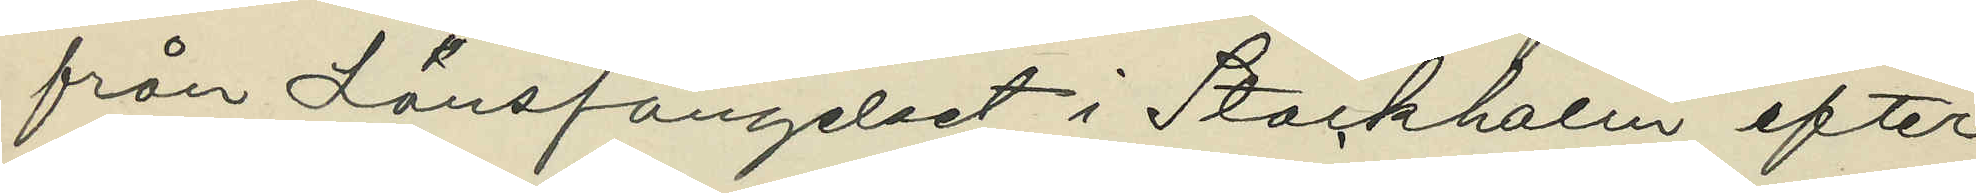från Länsfängelset i Stockholm efter
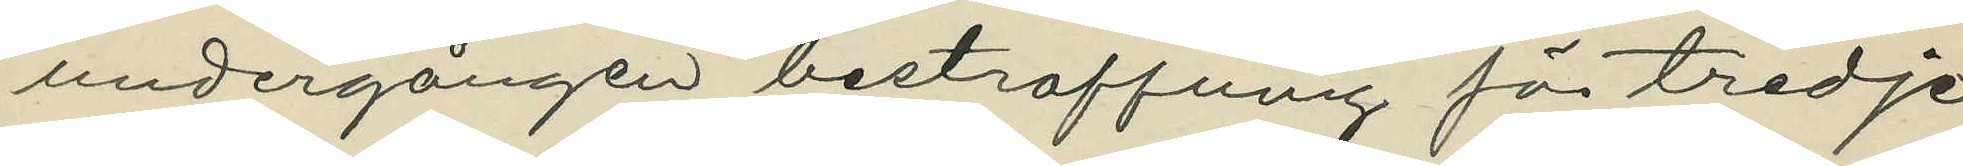undergången bestraffning för tredje
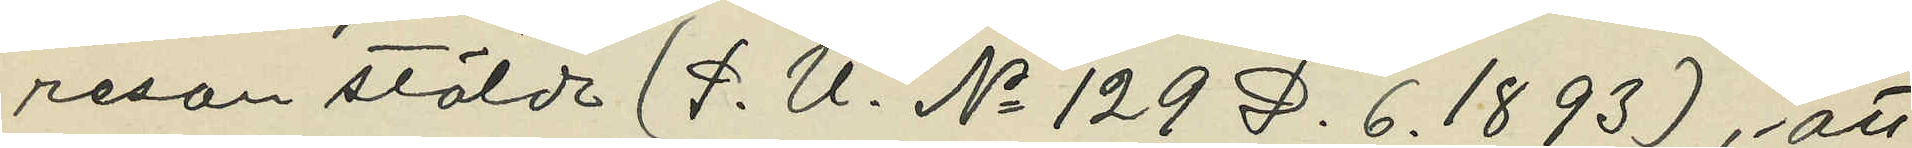resan stöld (P. U. No 129 D. 6. 1893), att
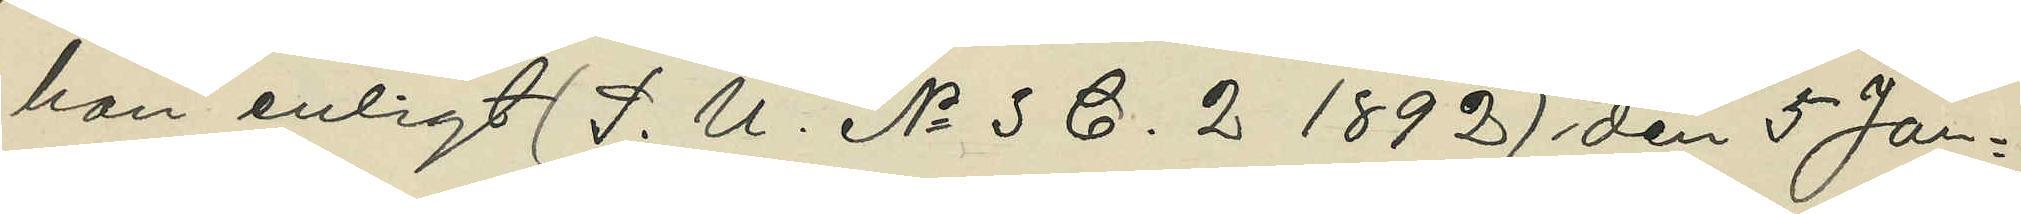han enligt (P. U. No 3 C. 2 1892) den 5 Jan¬
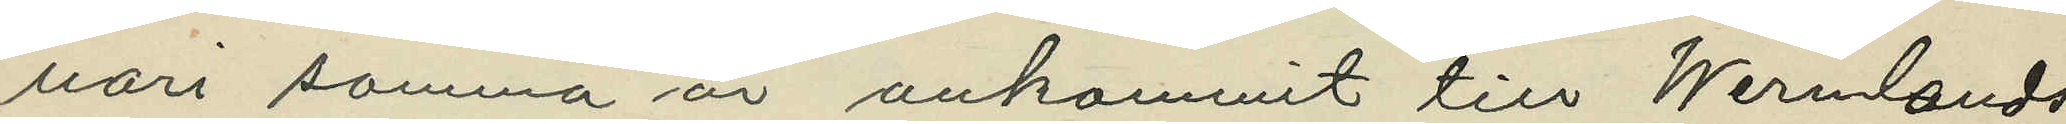uari samma år ankommit till Wermlands
